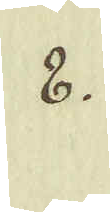8.
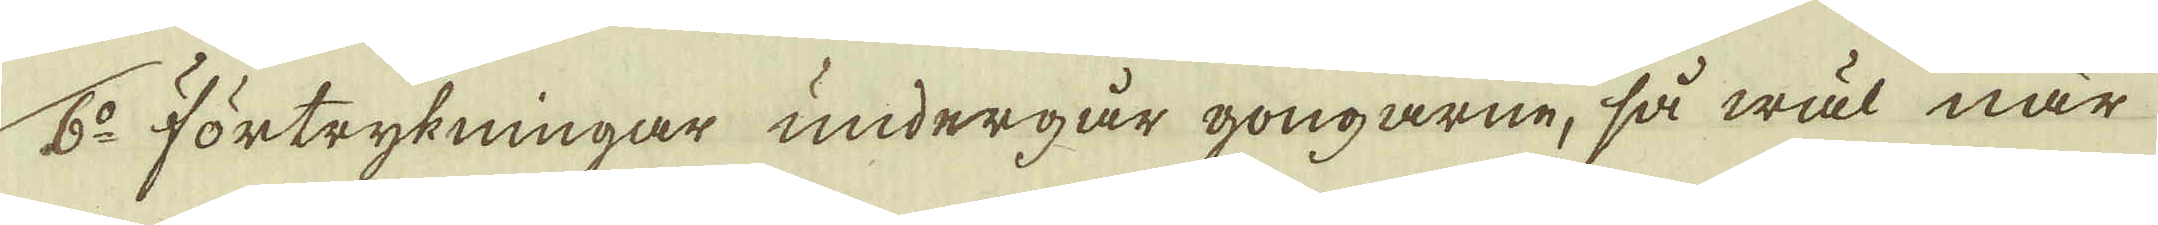6:o förtrykningar undergår gongarne, så wäl när
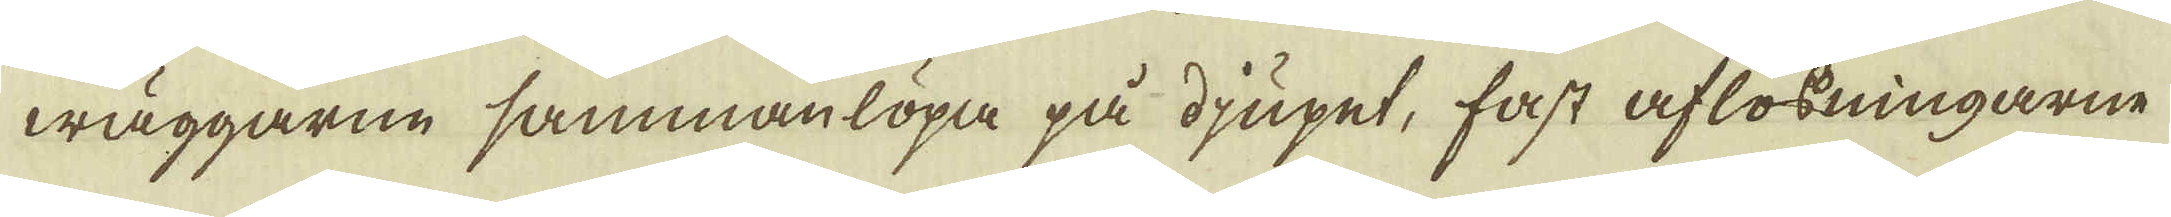wäggarne sammanlöpa på djupet, fast aflösningarne
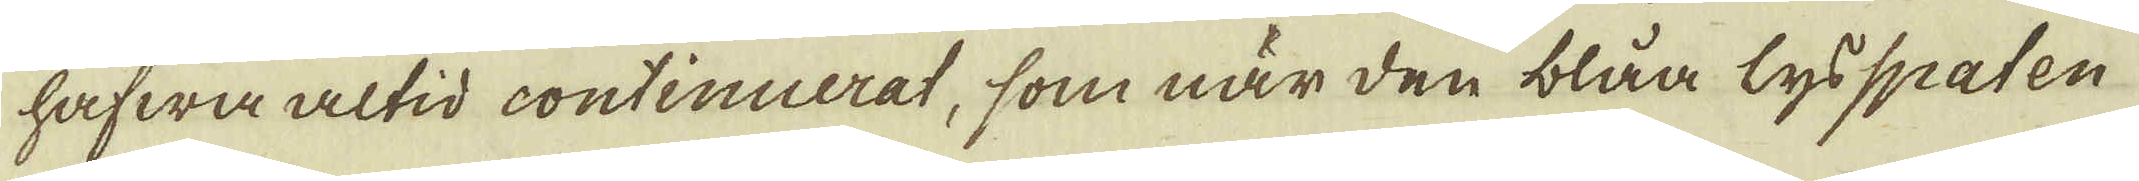hafwa altid continuerat, som när den blåa lysspaten
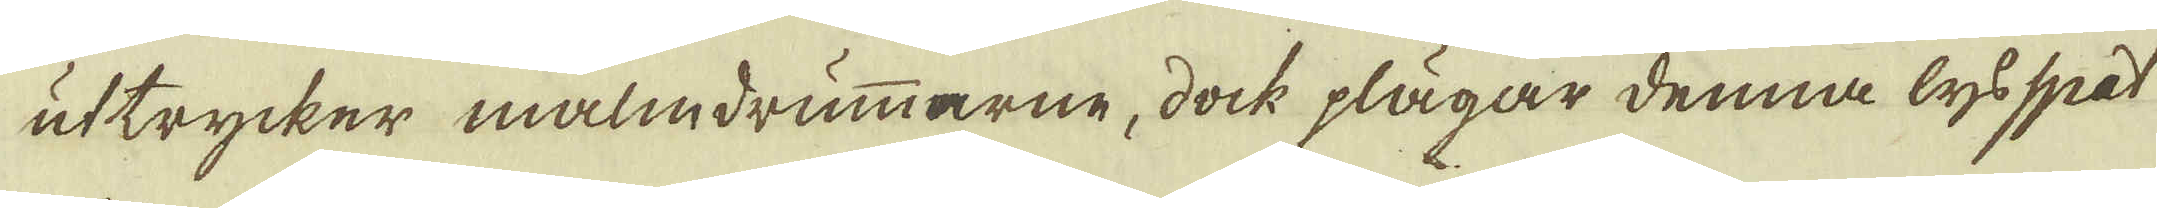uttrycker malmdrummarne, dock plägar denna lysspat
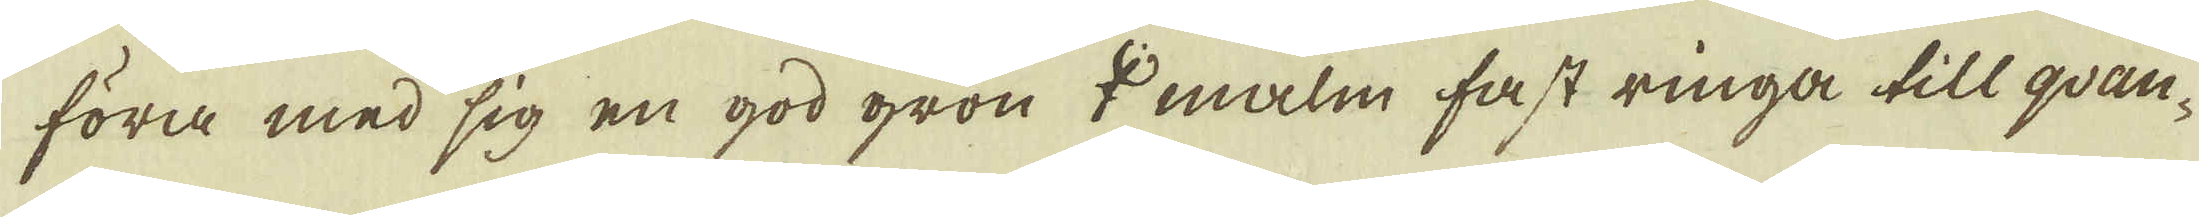föra med sig en god grön ♀ malm fast ringa till qvan-
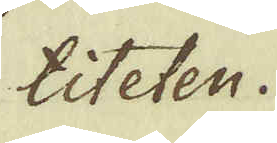titeten.
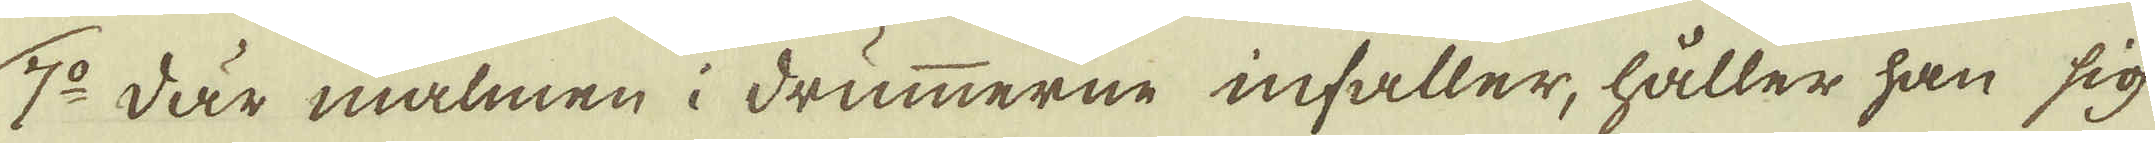7:o där malmen i drummerne infaller, håller han sig
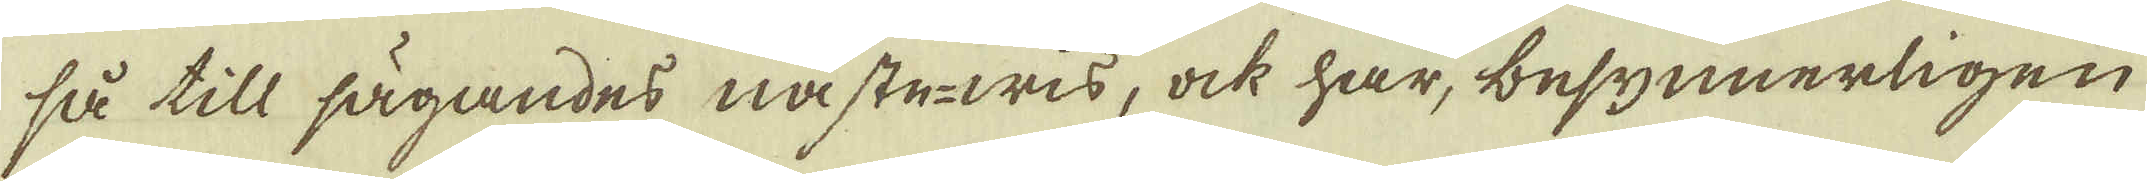så till sägandes näste-wis, ock har, besynnerligen
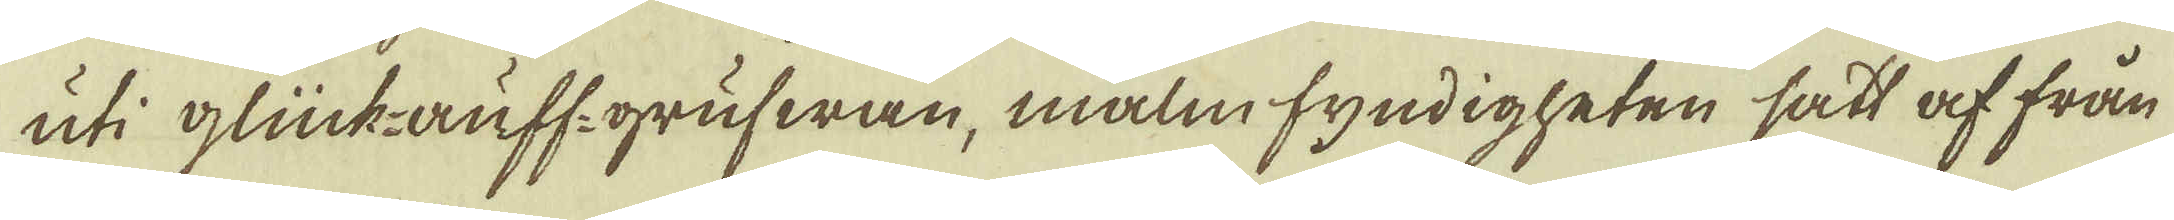uti gluckauff: grufwan, malm fyndigheten sätt af från
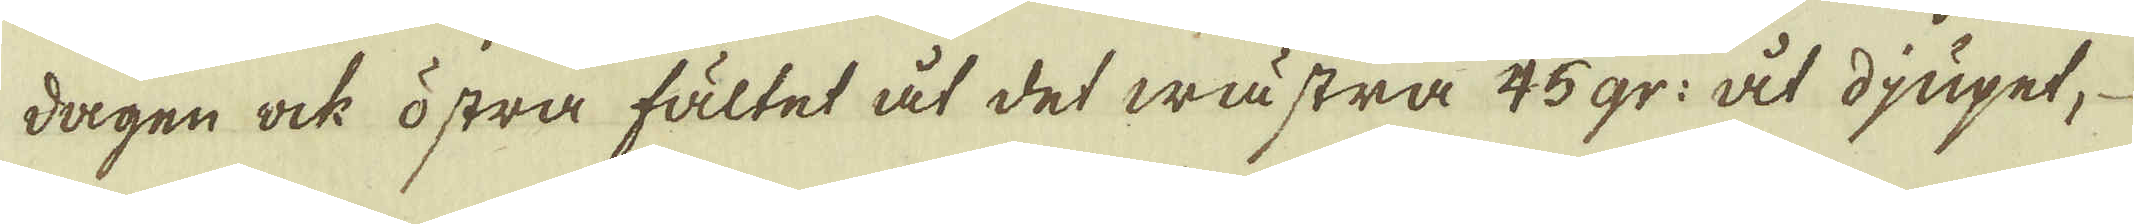dagen ock östra fältet åt det wästra 45 gr: åt djupet, 
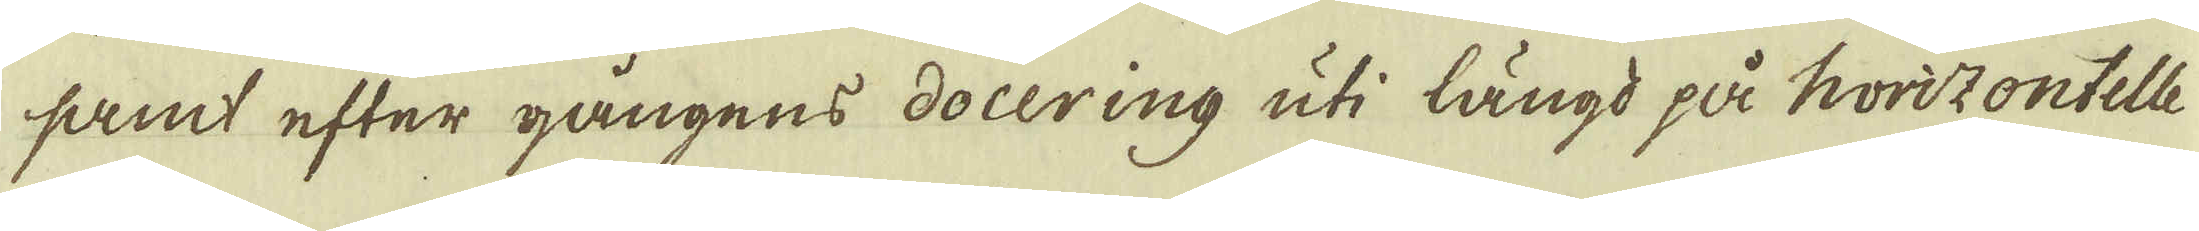samt efter gångens docering uti längd på horizontelle
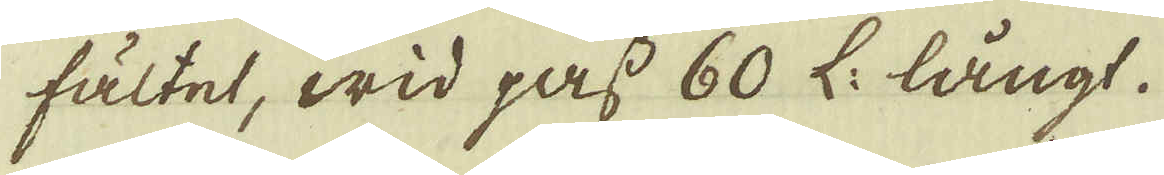fältet, wid pass 60 L: långt.
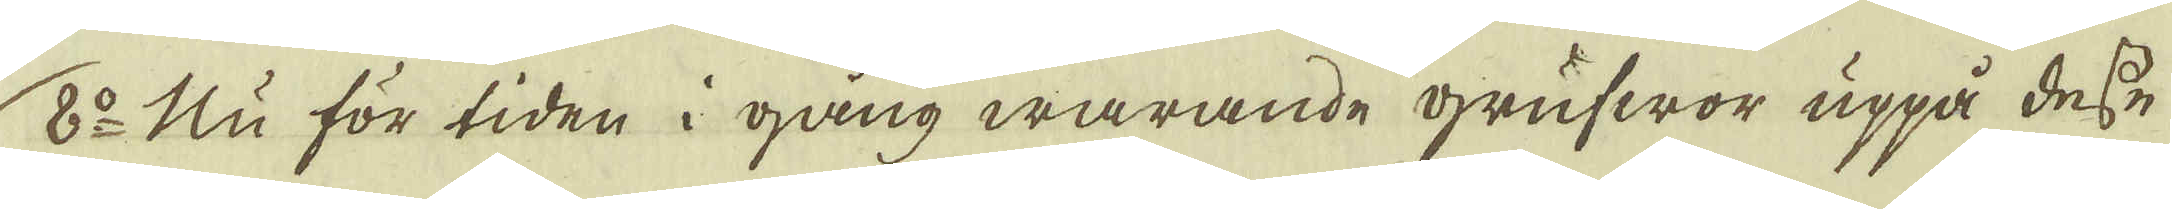8:o Nu för tiden i gång warande grufwor uppå desse
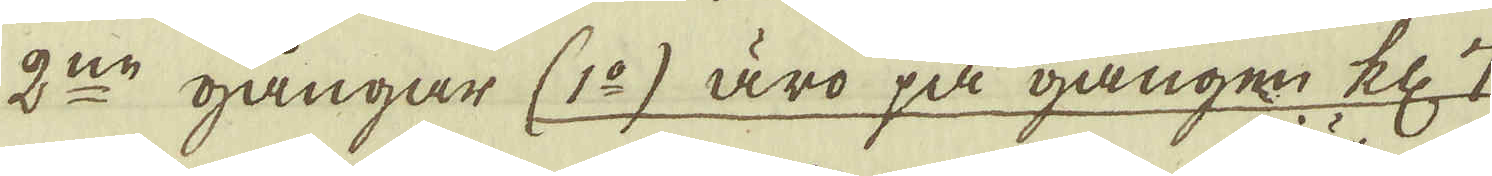2:ne gångar (1:o) äro på gången kl: 7
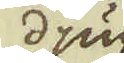djup
